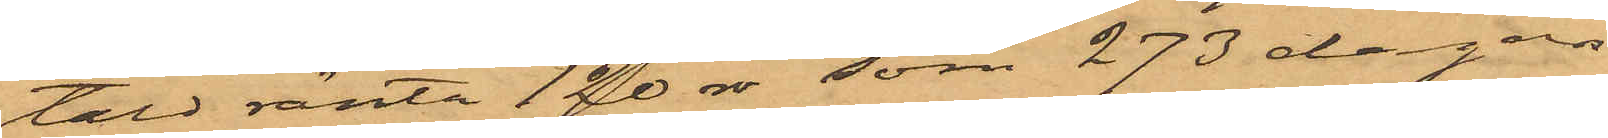tald ränta 120 rdr, som 273 dagars
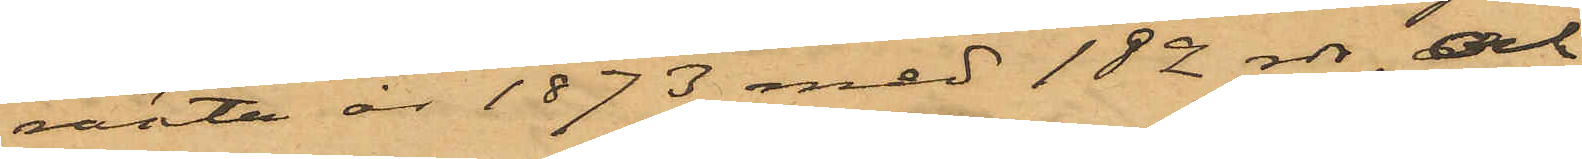ränta år 1873 med 182 rdr, och
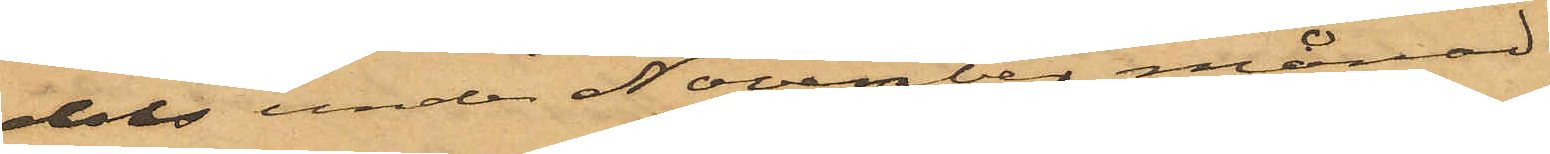dels under November månad
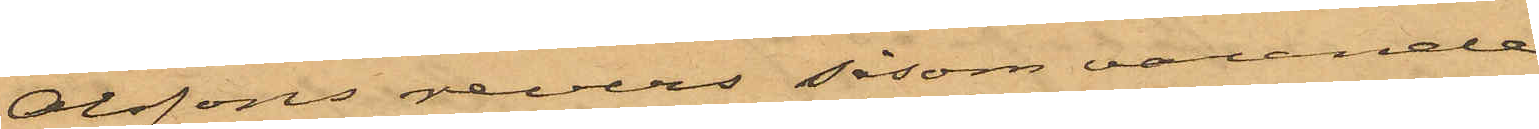Olssons revers såsom varande
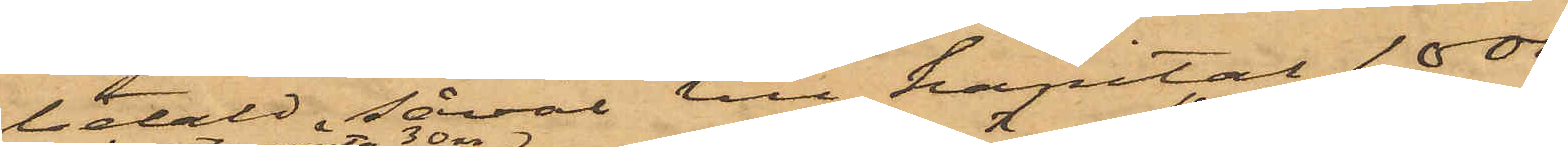betald, såväl till kapital 1000
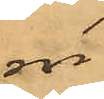rdr
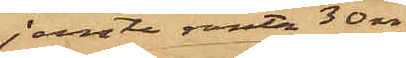jemte ränta 30 rdr
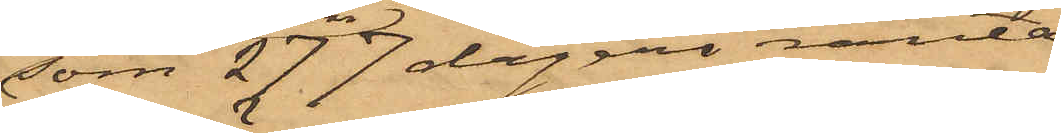som 277 dagars ränta
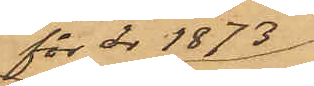för år 1873
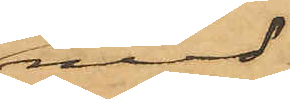med
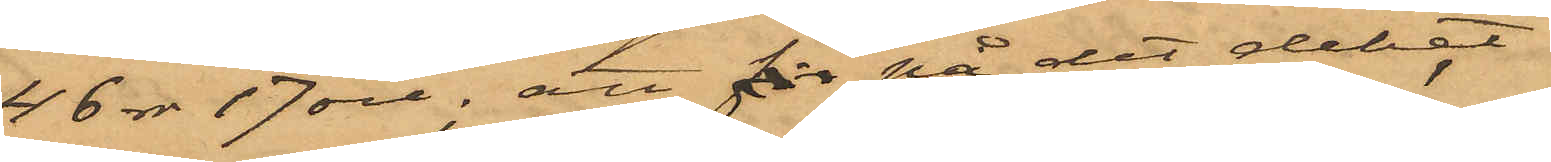46 rdr 17 öre; att för på det debet
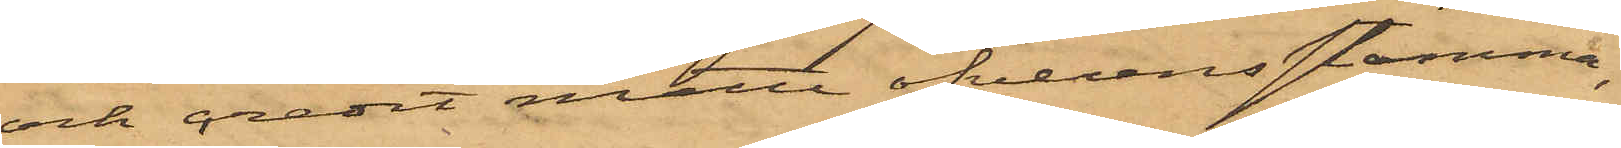och credit måtte öfverensstämma,
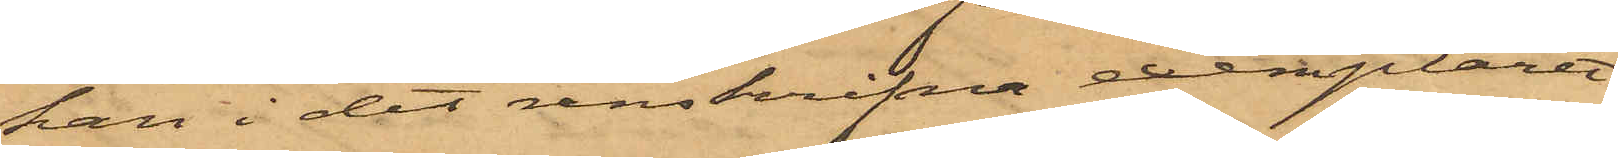han i det renskrifna exemplaret
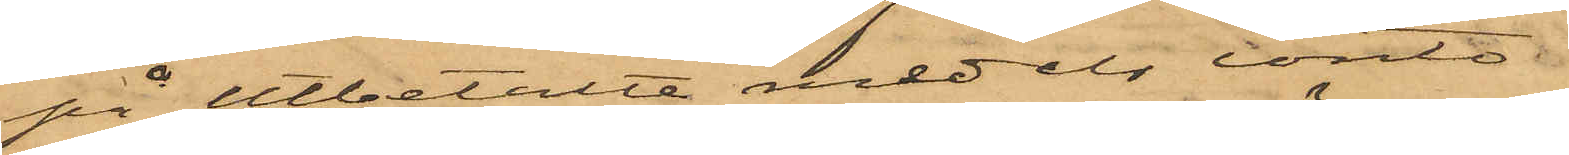på utbetalda medels conto
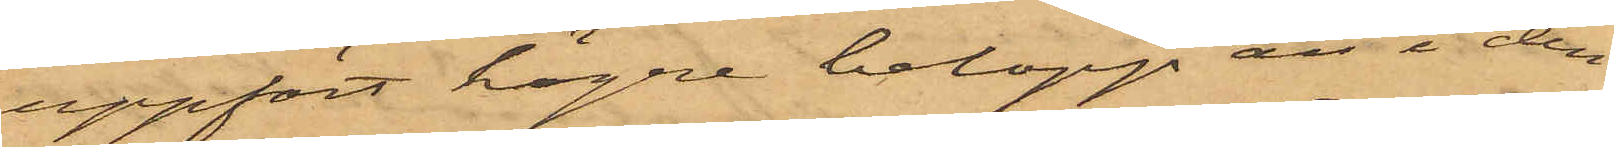uppfört högre belopp än i den
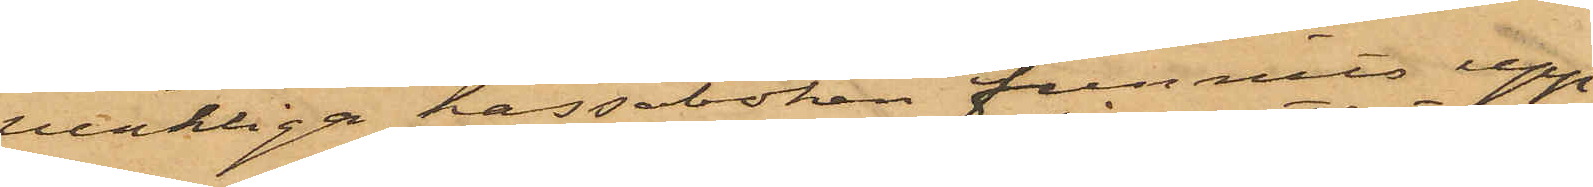verkliga kassaboken funnits upp¬
